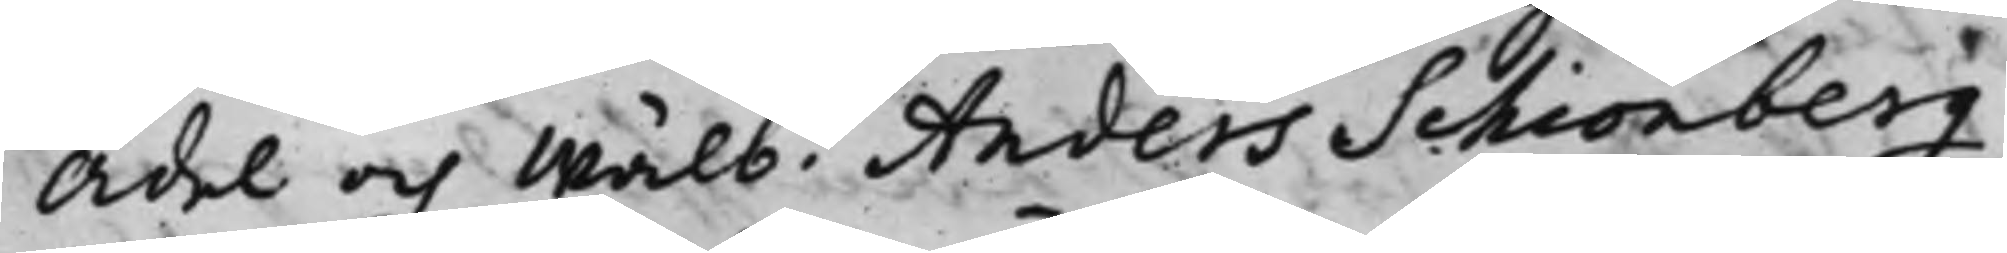Ädel och Wälb. Anders Schiönberg
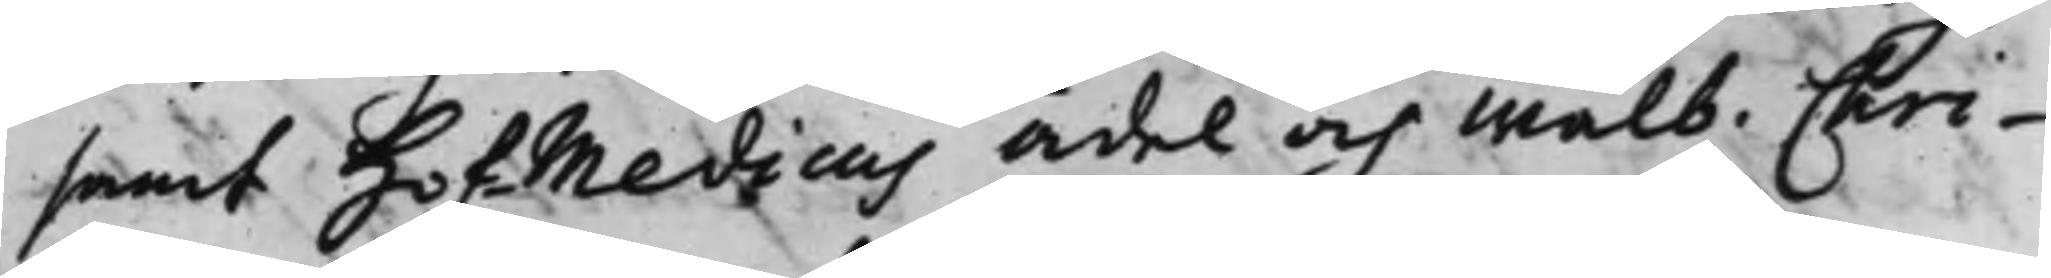samt Hoffmedicus Ädel och Wälb. Chri¬
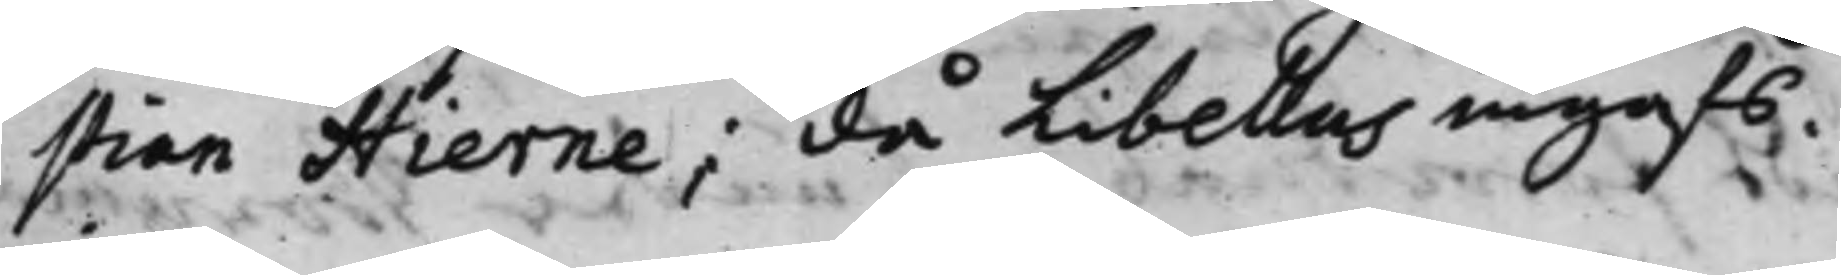stian Hierne, då Libellus ingafs.
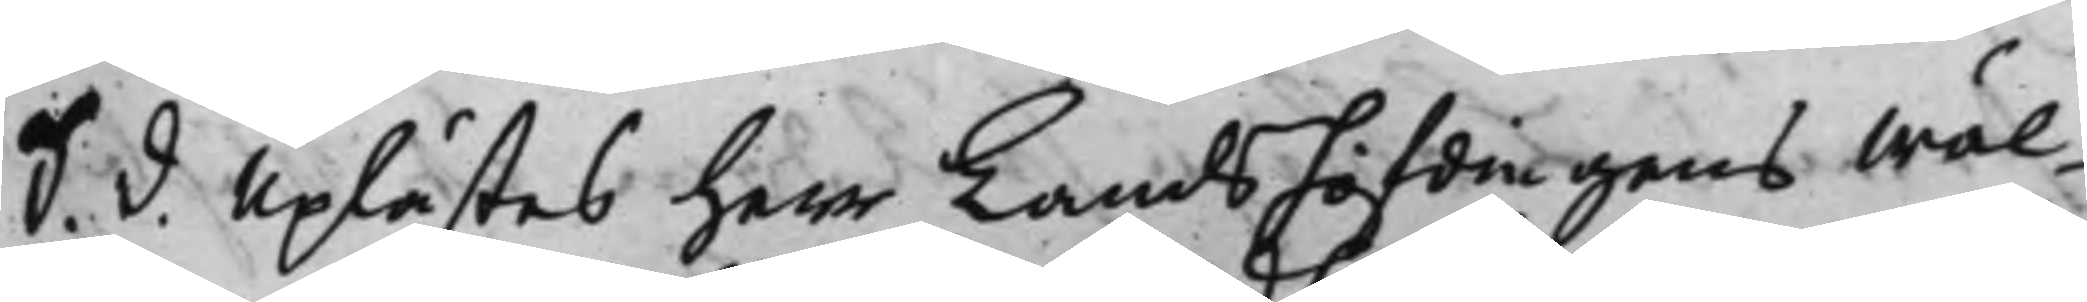S. d. Uplästes herr Landshöfdingens Wäl¬
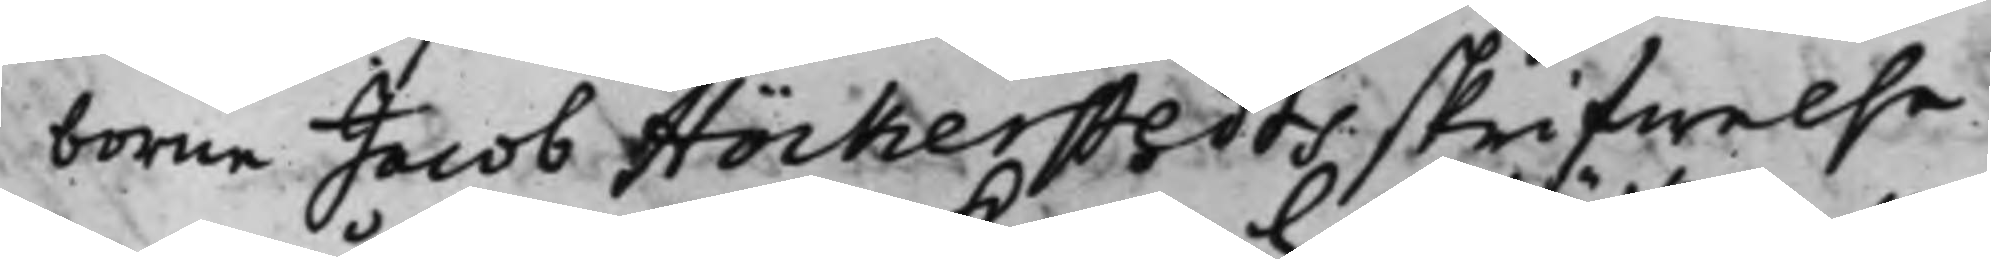borne Jacob Höckerstedts skrifwelse,
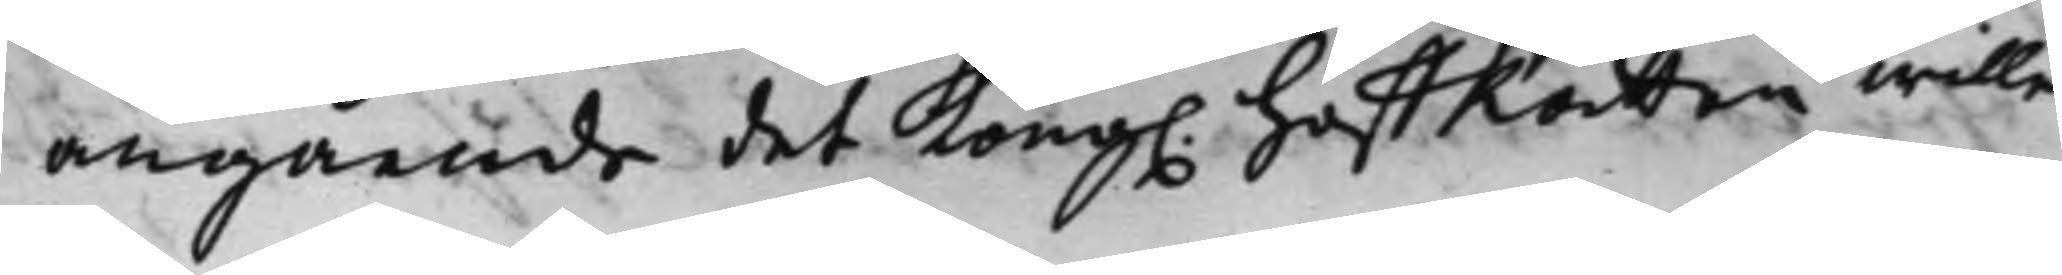angående det Kong. HoffRätten wille
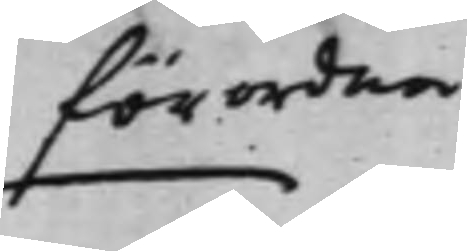förordna
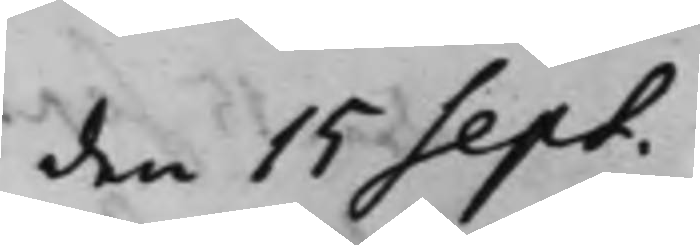den 15 Sept.
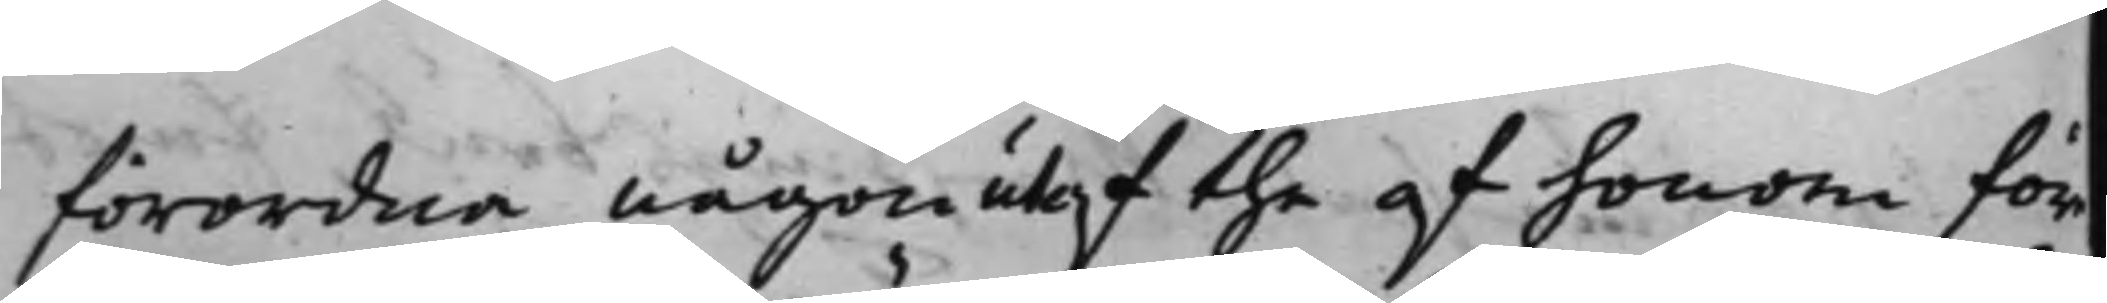förordna någon utaf the af honom före¬
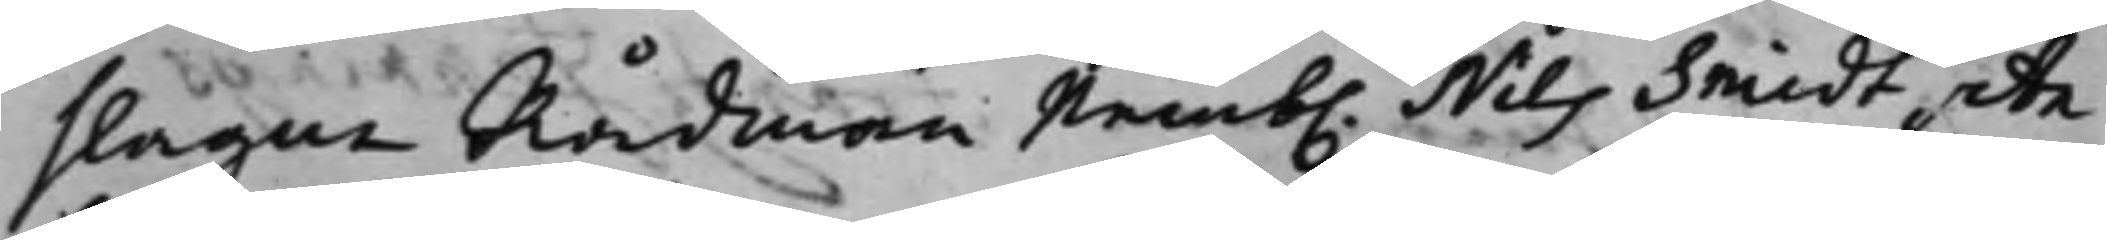slagne Rådmän Nemb. Nils Smidt, An¬
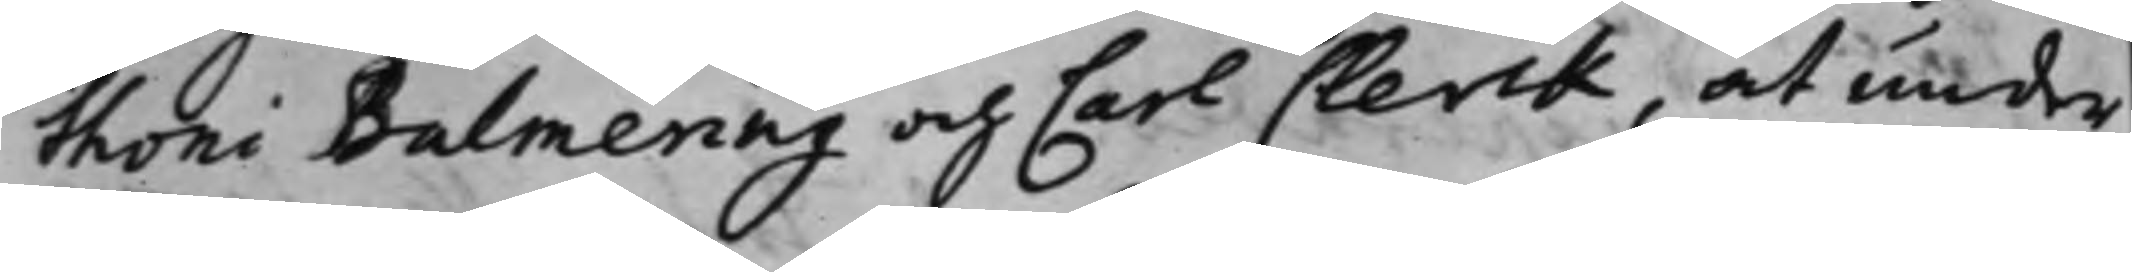thoni Balmering och Carl Clerck, at under
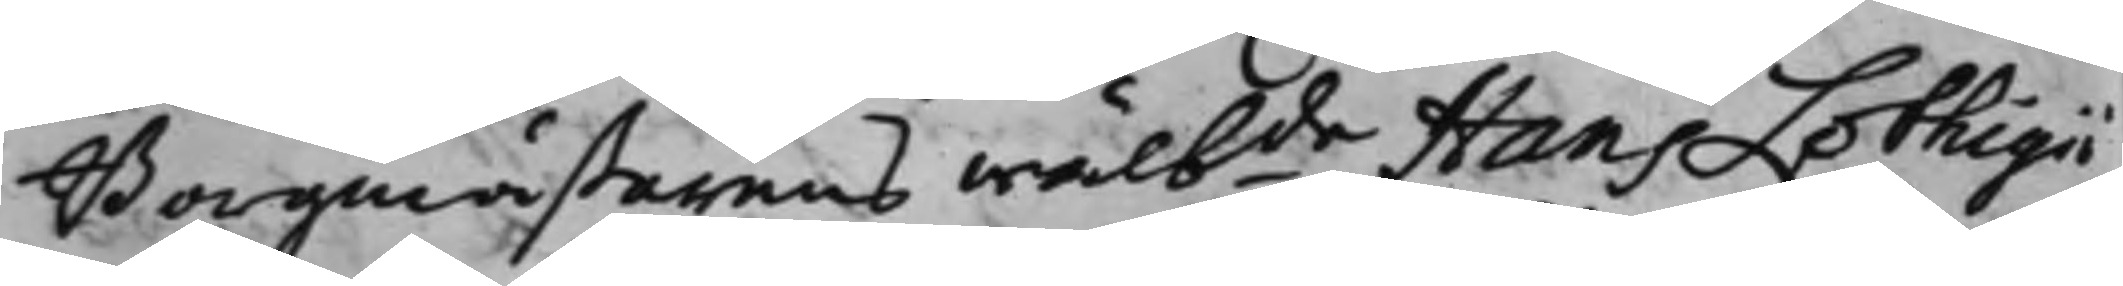Borgmästarens Wälbde Hans Lothigii
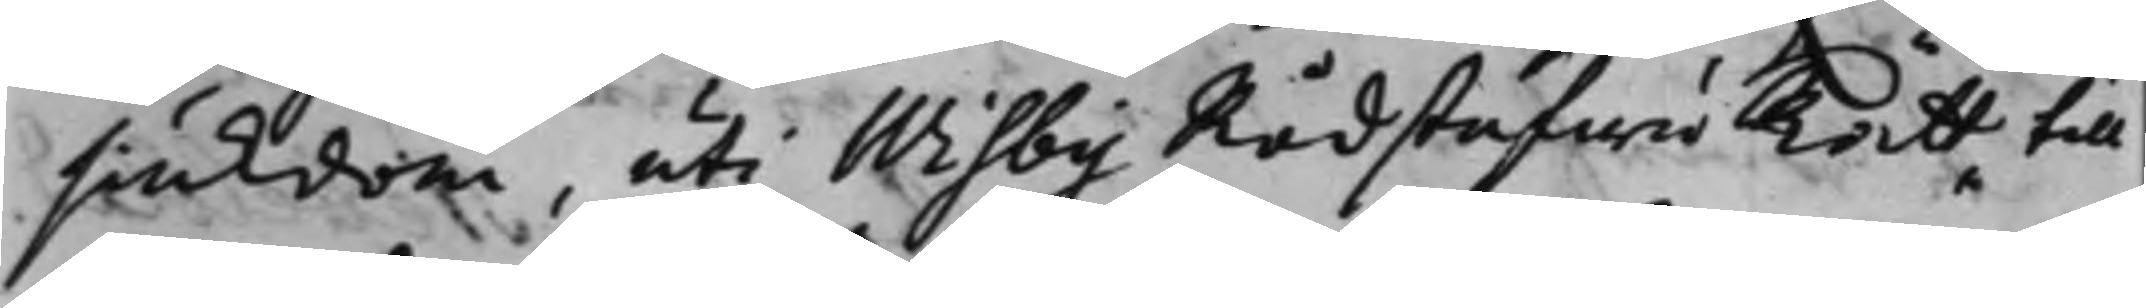siukdom, uti Wisby RådstufwuRätt till
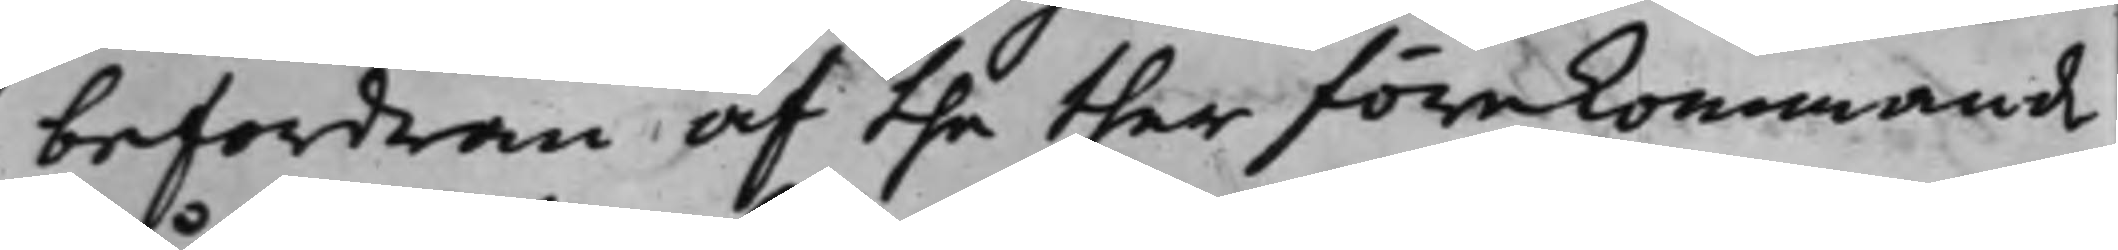befordran af the ther förekommande
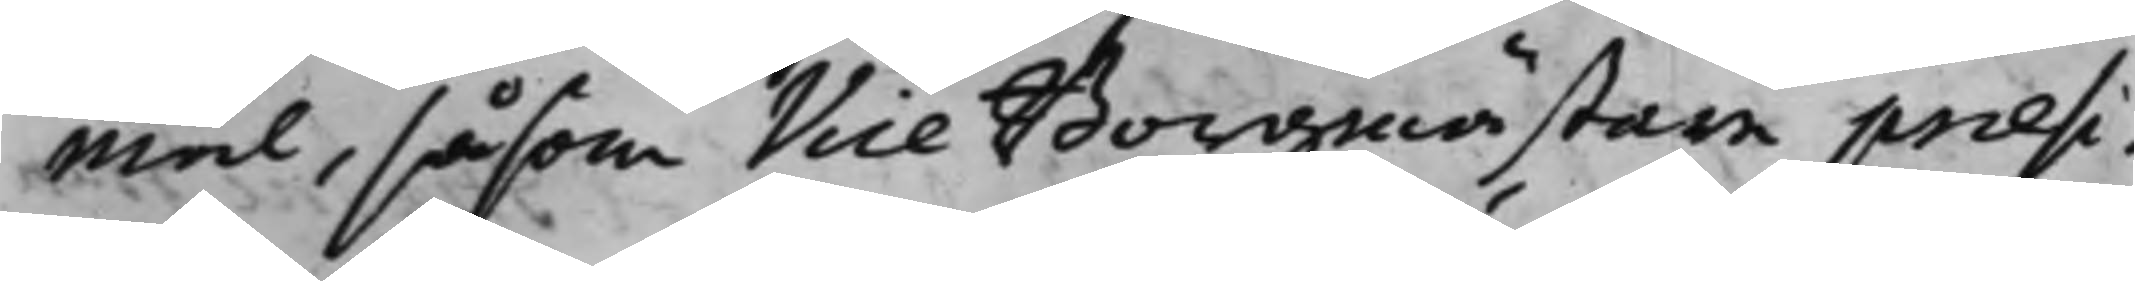mål, såsom Vice Borgmästare præsi¬
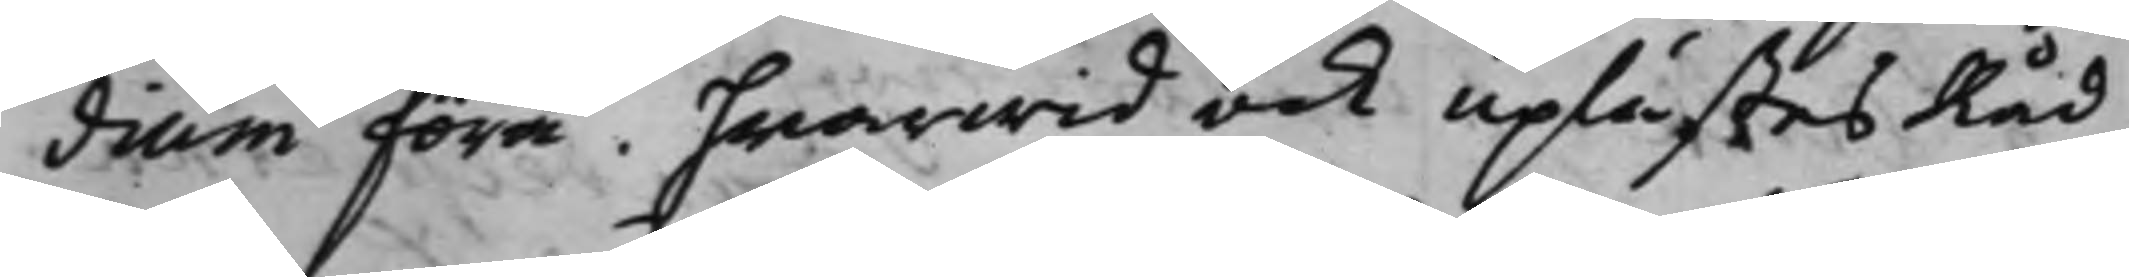dium föra, hwarwid ock uplästes Råd¬
